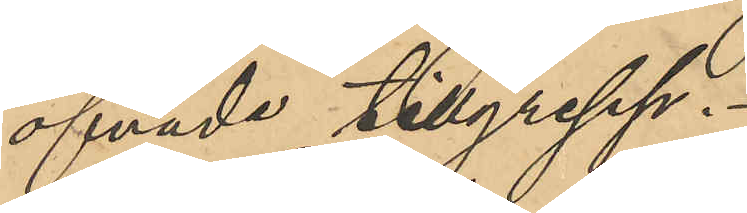öfvade tillgrepp.
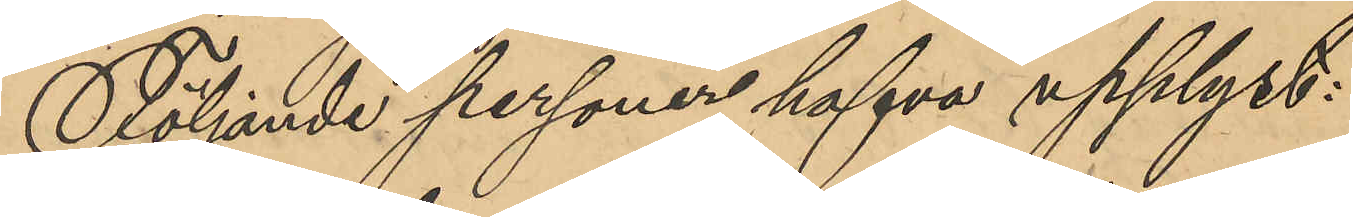Följande personer hafva upplyst:
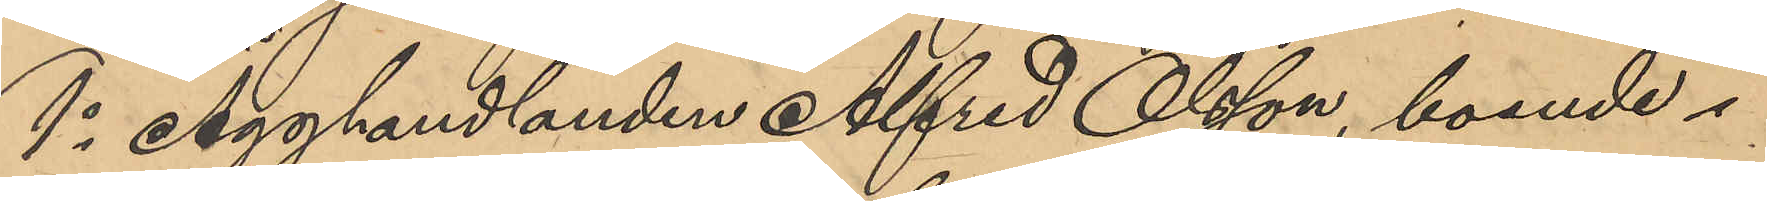1o Ägghandlanden Alfred Olsson, boende i
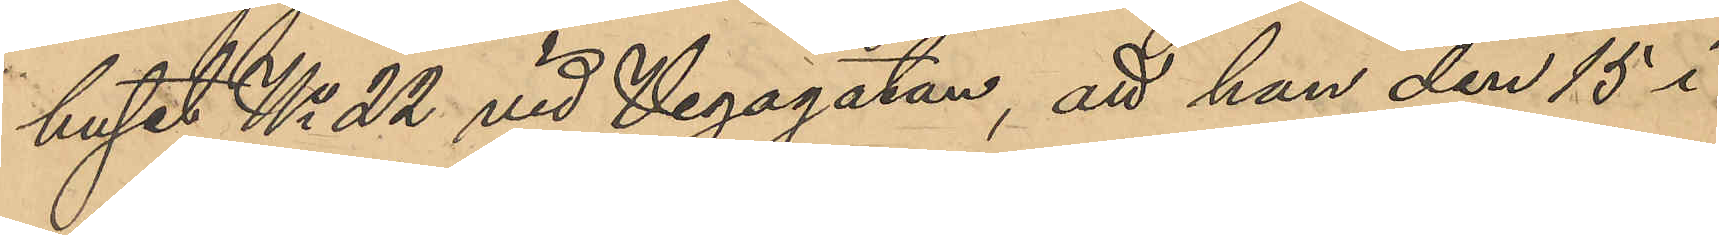huset No 22 vid Vegagatan, att han den 15 i
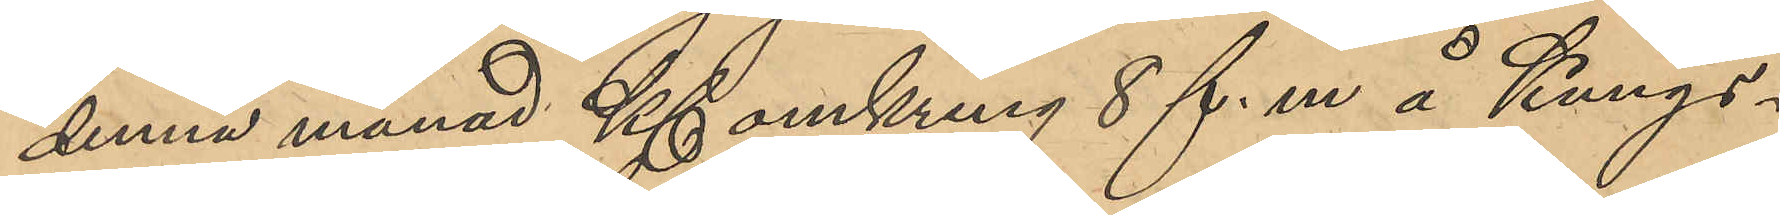denna månad Kl omkring 8 f. m. å Kungs¬
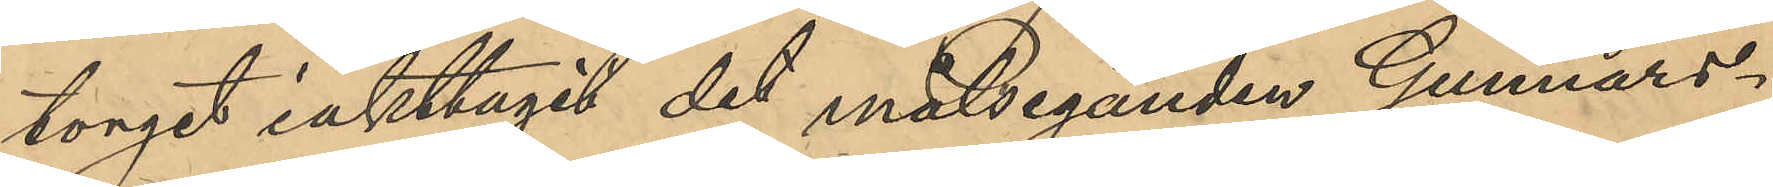torget iakttagit det målseganden Gunnars¬
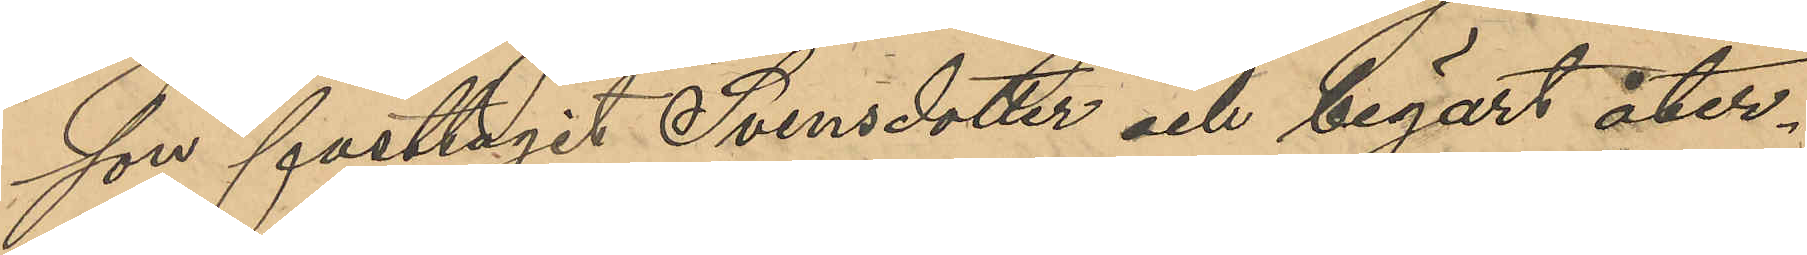son fasttagit Svensdotter och begärt åter¬
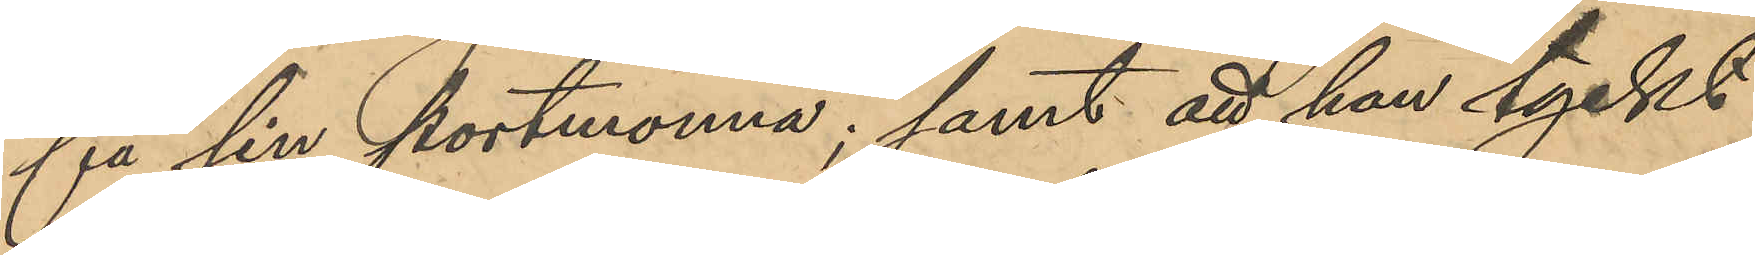få sin portmonnä; samt att han tyckt
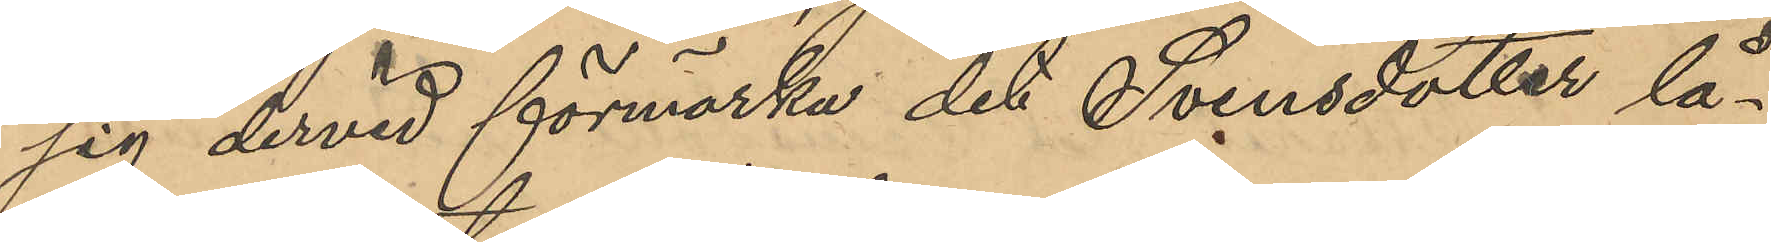sig dervid förmärka det Svensdotter lå¬
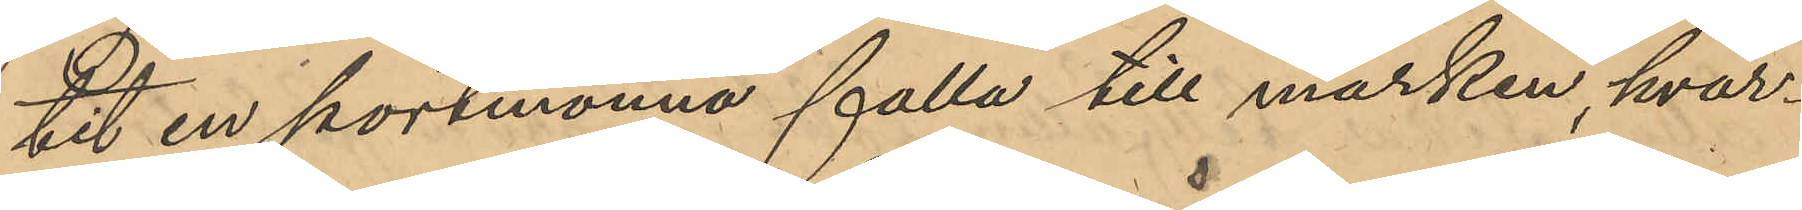tit en portmonnä falla till marken, hvar¬
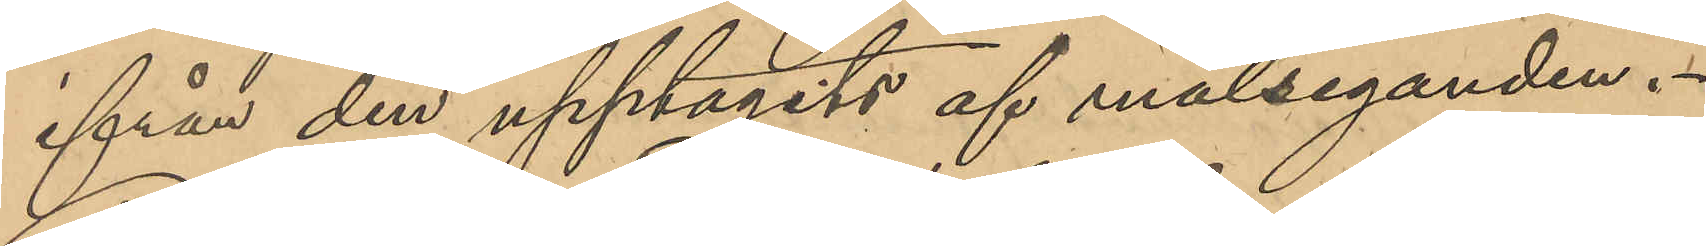ifrån den upptagits af målseganden.
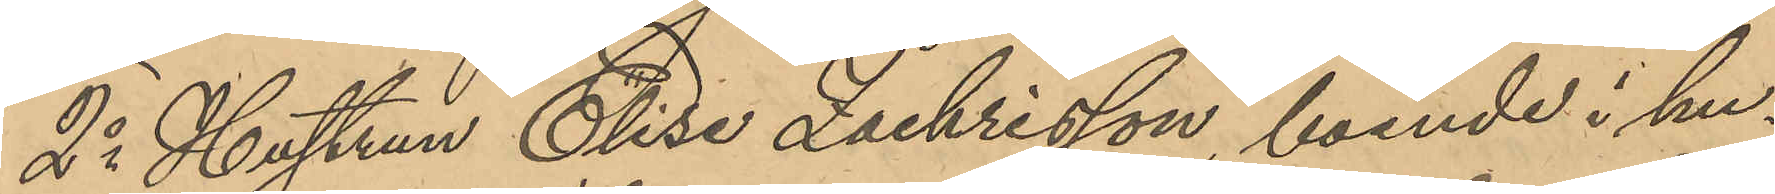2o Hustrun Elise Zackrisson, boende i hu¬
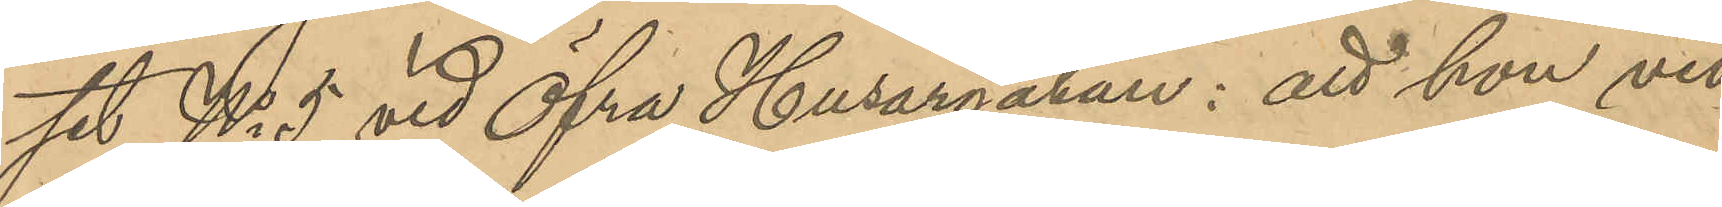set No 9 vid Öfra Husargatan: att hon vid
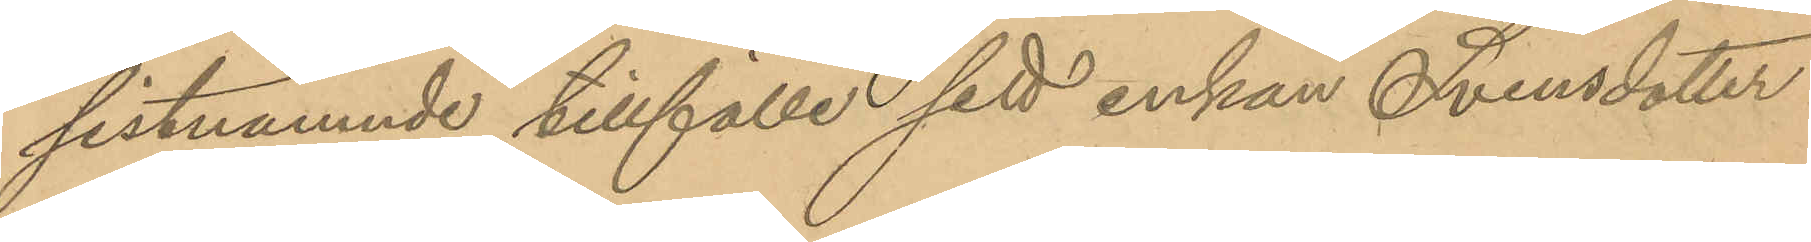sistnämnde tillfälle sett enkan Svensdotter
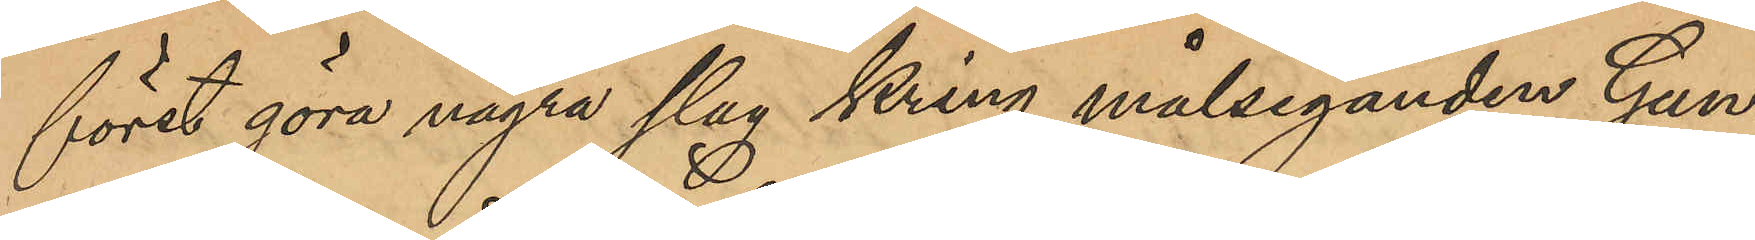först göra några slag kring målseganden Gun¬
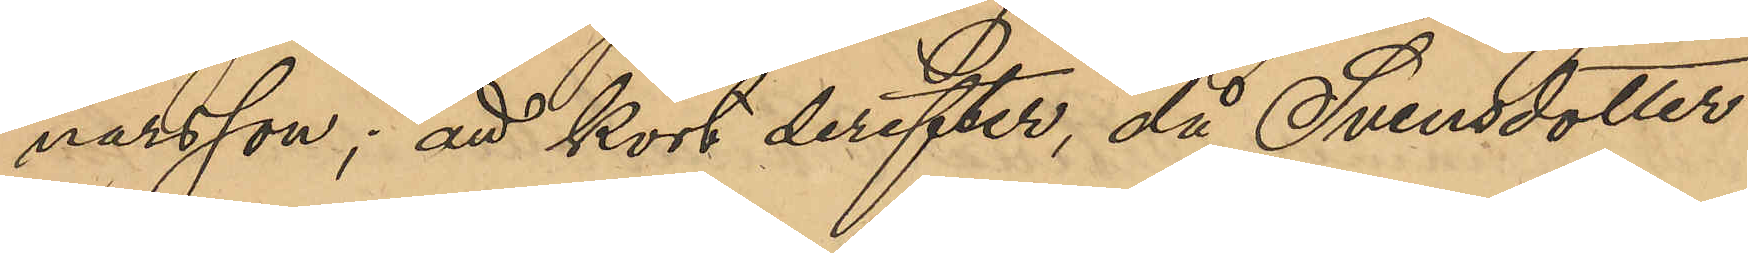narsson; att kort derefter, då Svensdotter
